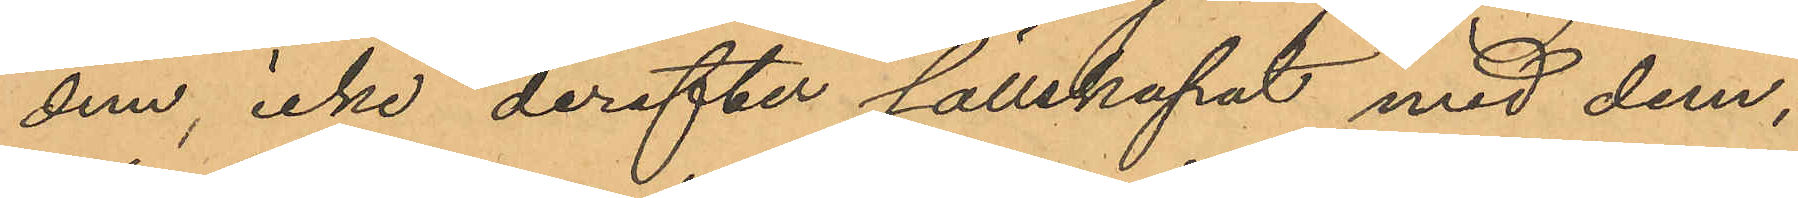dem, icke derefter sällskapat med dem;
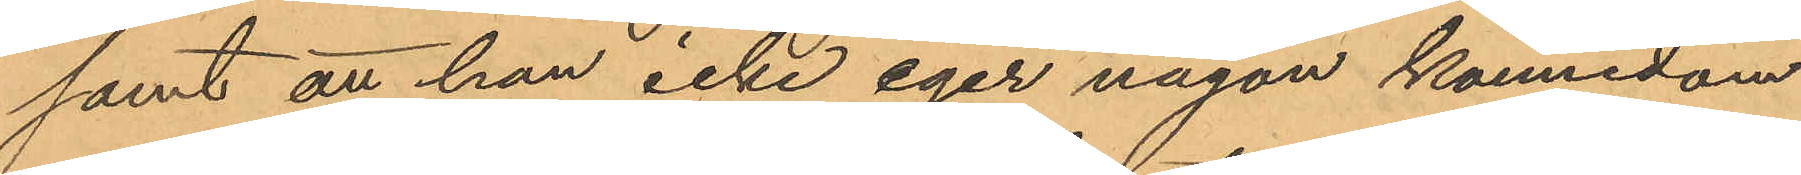samt att han icke eger någon kännedom
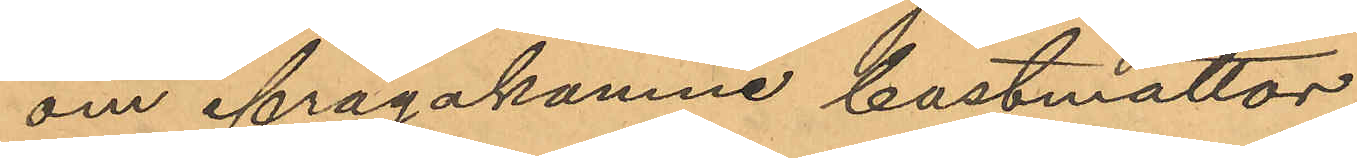om ifrågakomne bastmattor.
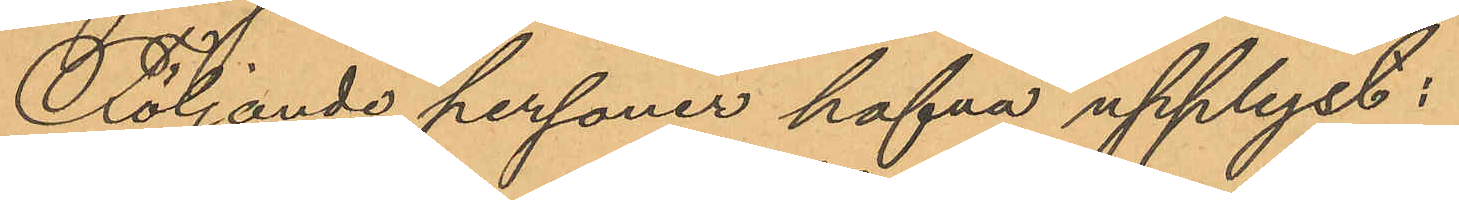Följande personer hafva upplyst:
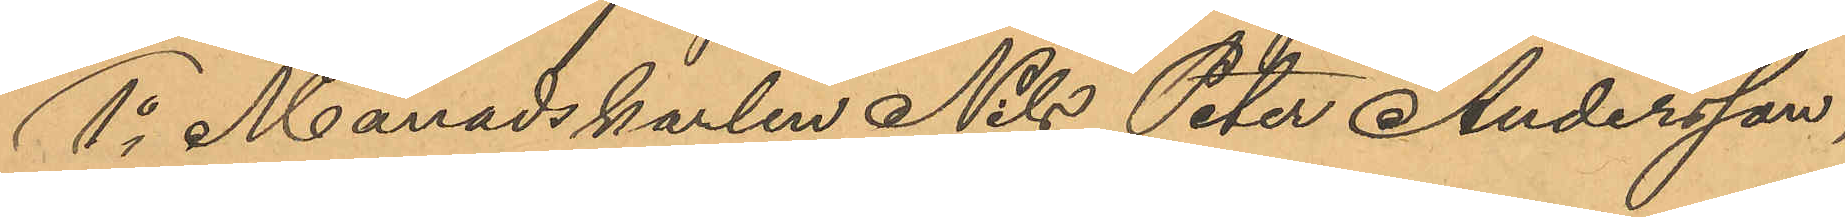1o Månadskarlen Nils Peter Andersson,
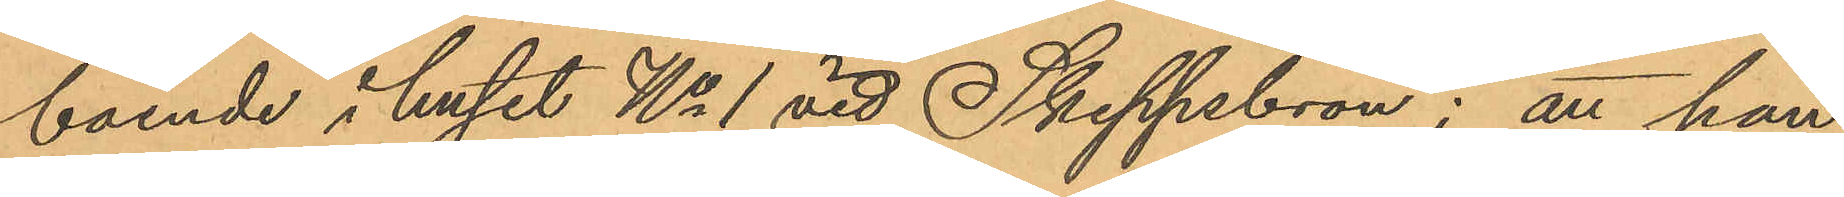boende i huset No 1 vid Skeppsbron; att han
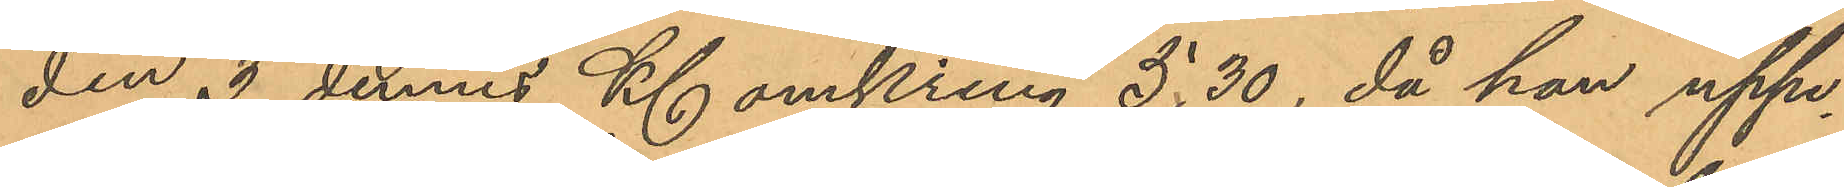den 3 dennes Kl omkring 5,30, då han uppe¬
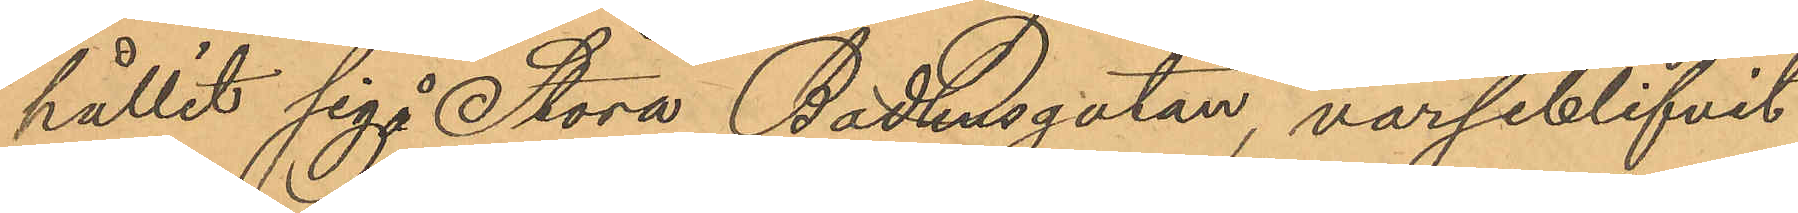hållit sig å  Stora Badhusgatan varseblifvit
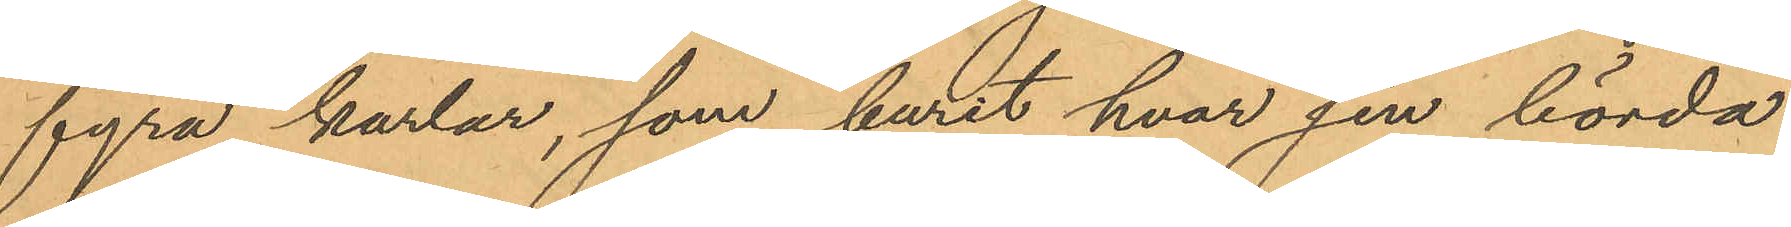fyra karlar, som burit hvar sin börda
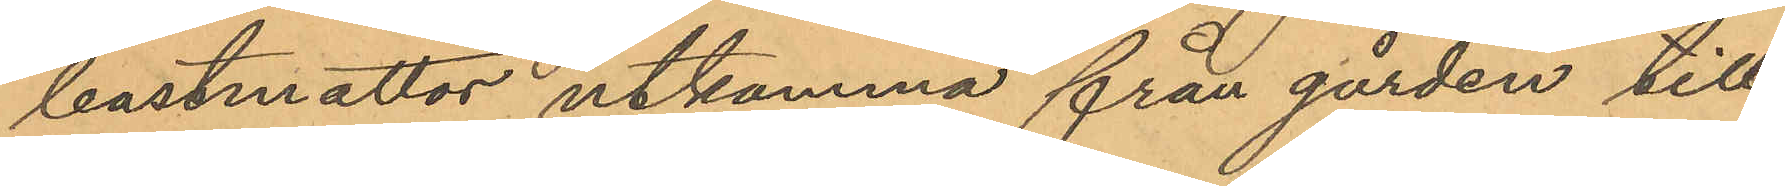bastmattor utkomma från gården till
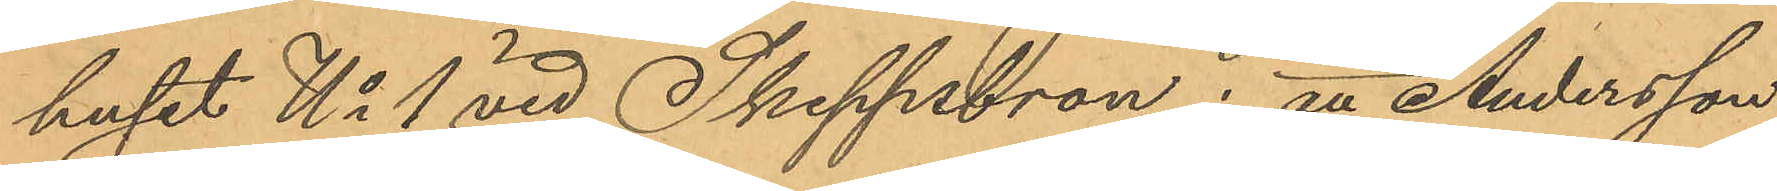huset No 1 vid Skeppsbron; att Andersson
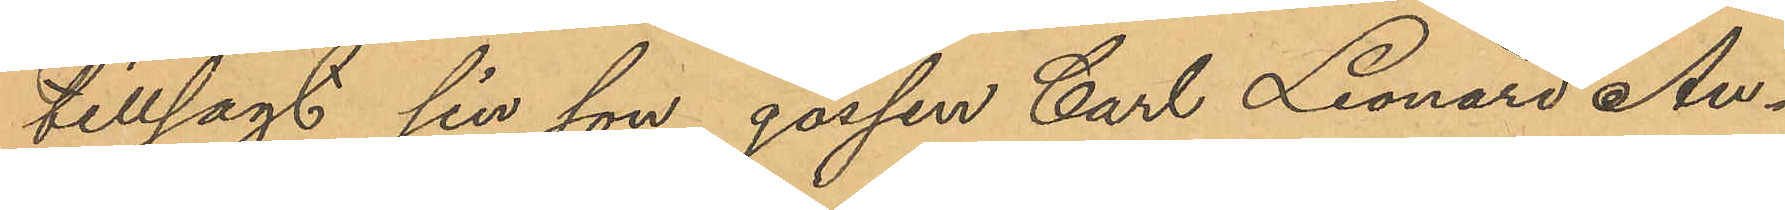tillsagt sin son gossen Carl Leonard An¬
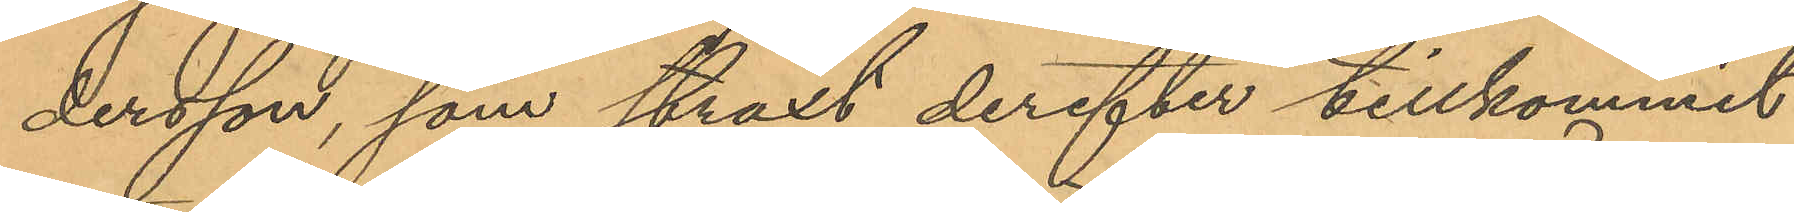dersson, som straxt derefter tillkommit
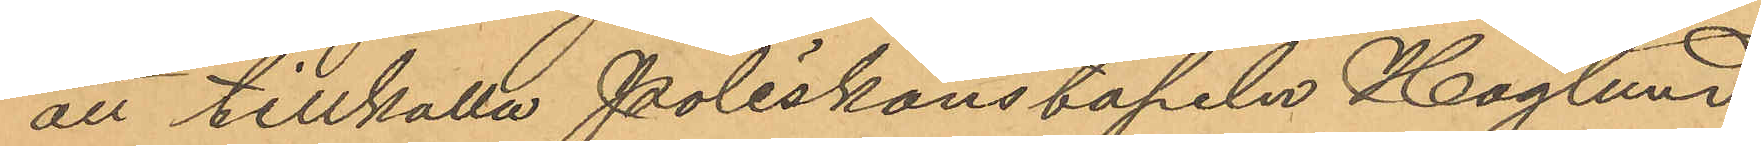att tillkalla Poliskonstapeln Höglund,
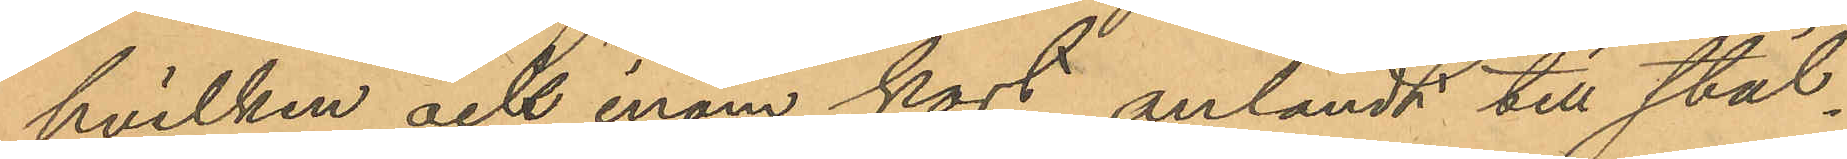hvilken ock inom kort anländt till stäl¬
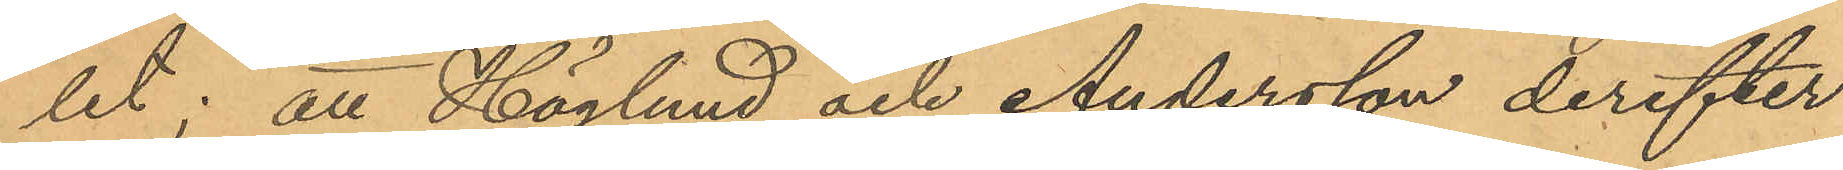let; att Höglund och Andersson derefter
